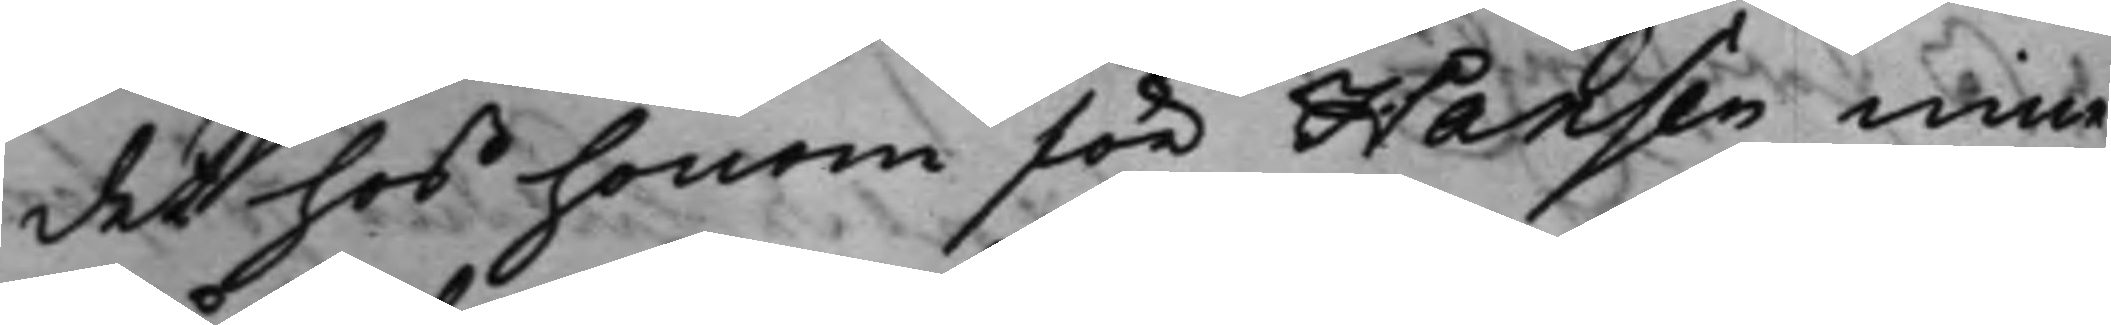det hos honom för Hansen inne¬
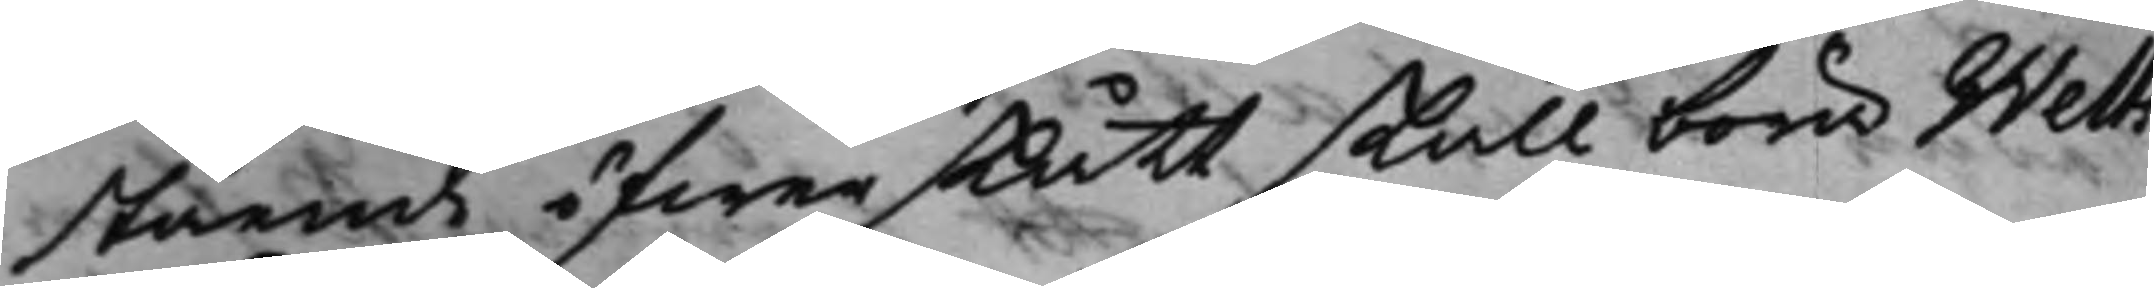stående öfwerskått skall böra Welts
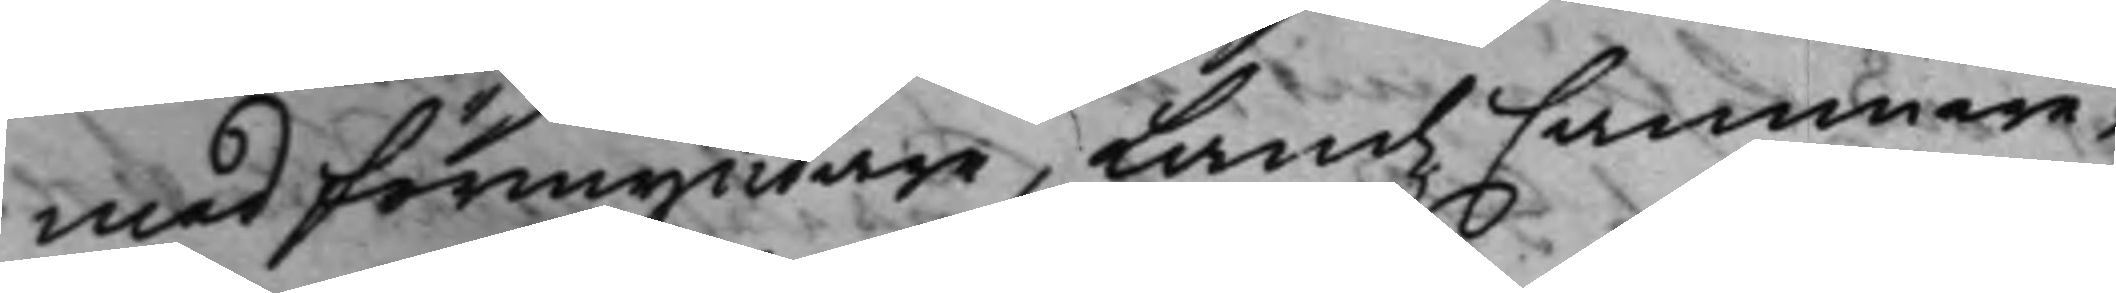medförmyndare, LandzCammere¬
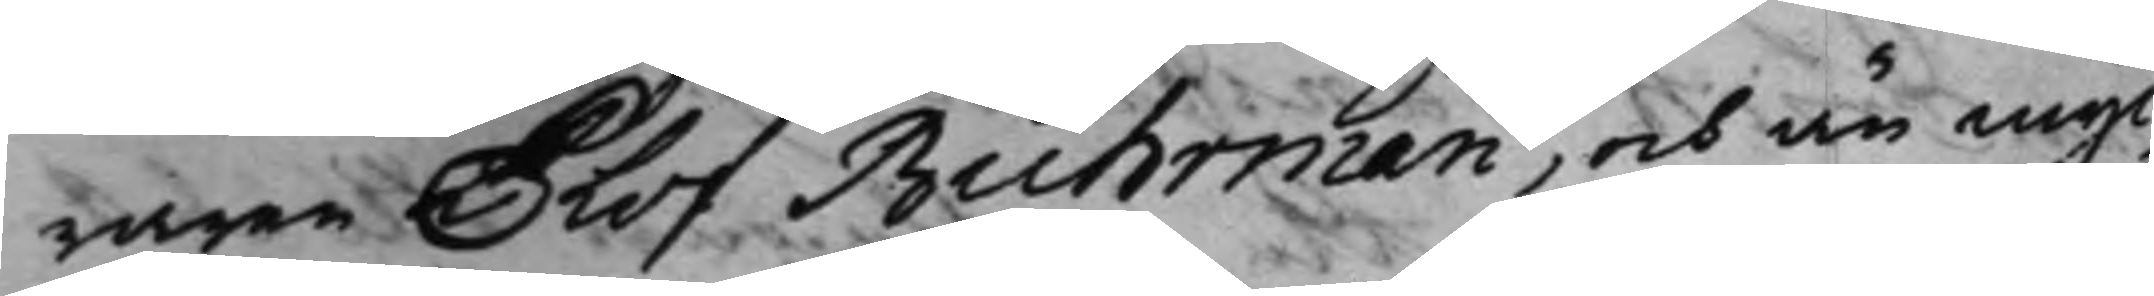raren Olof Buhrman, och än myc¬
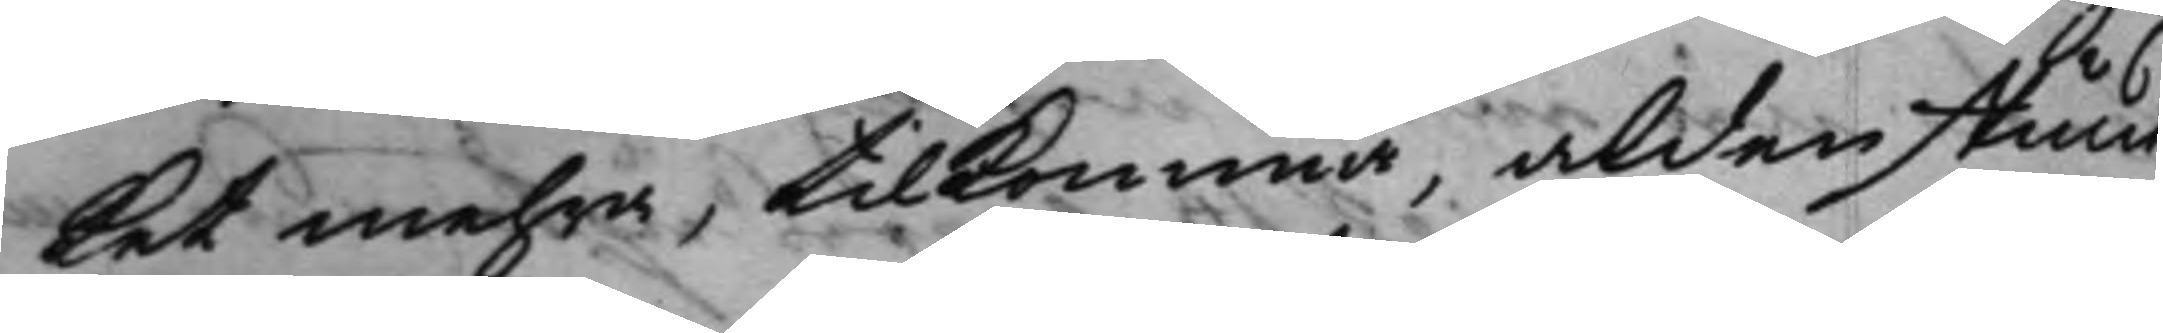ket mehra, tillkomma, aldenstund
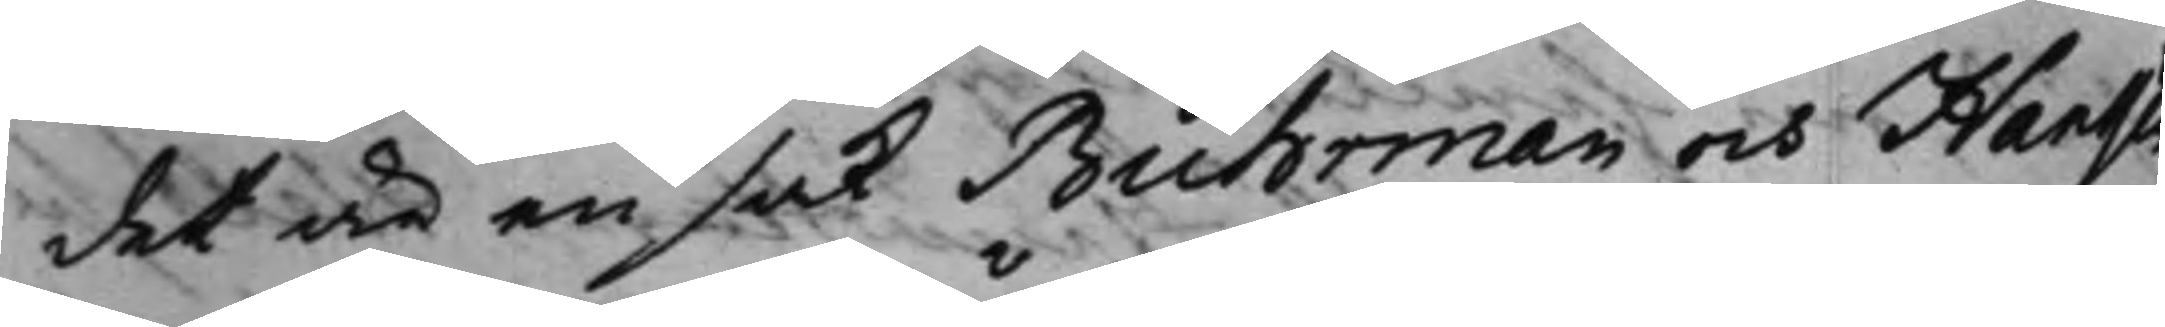det är en sak Buhrman och Hanssen
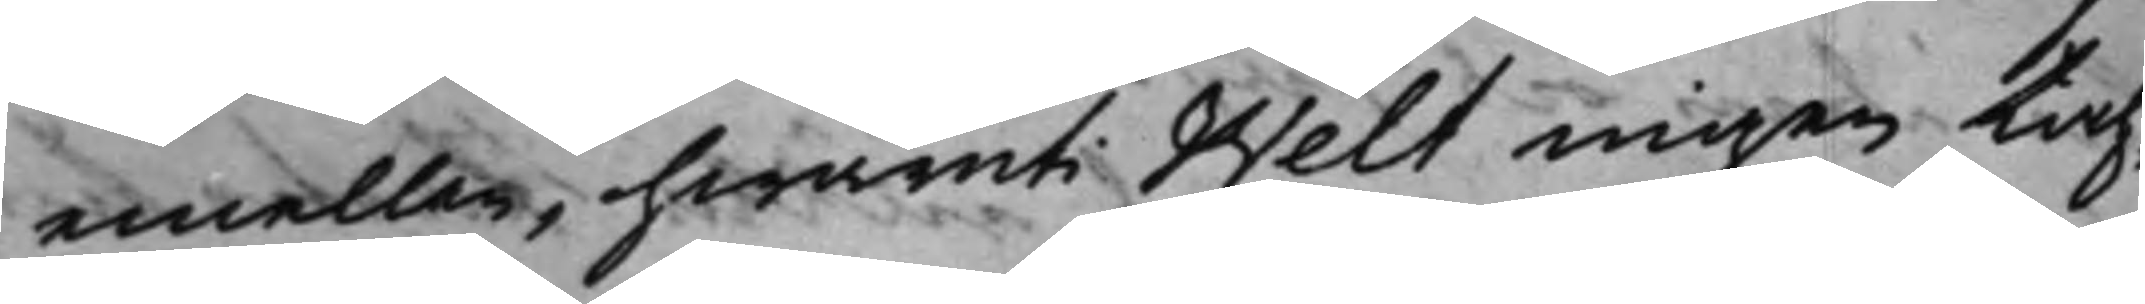emellan, hwaruti Welt ingen tah¬
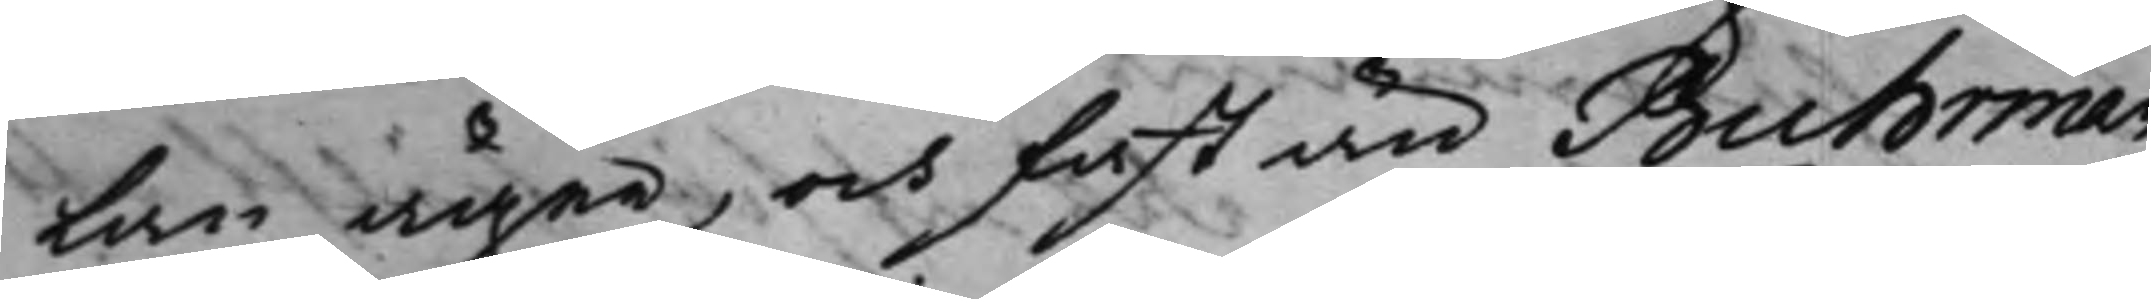lan äger, och fast än Buhrman,
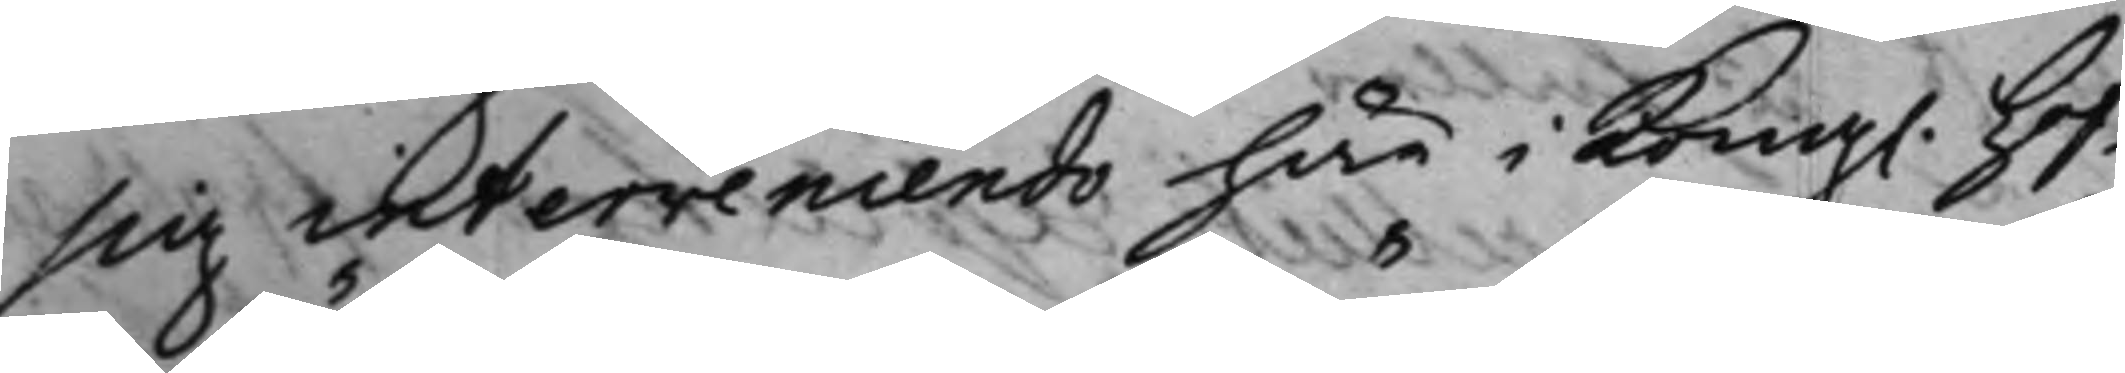sig interveniendo här i Kong. Hof¬
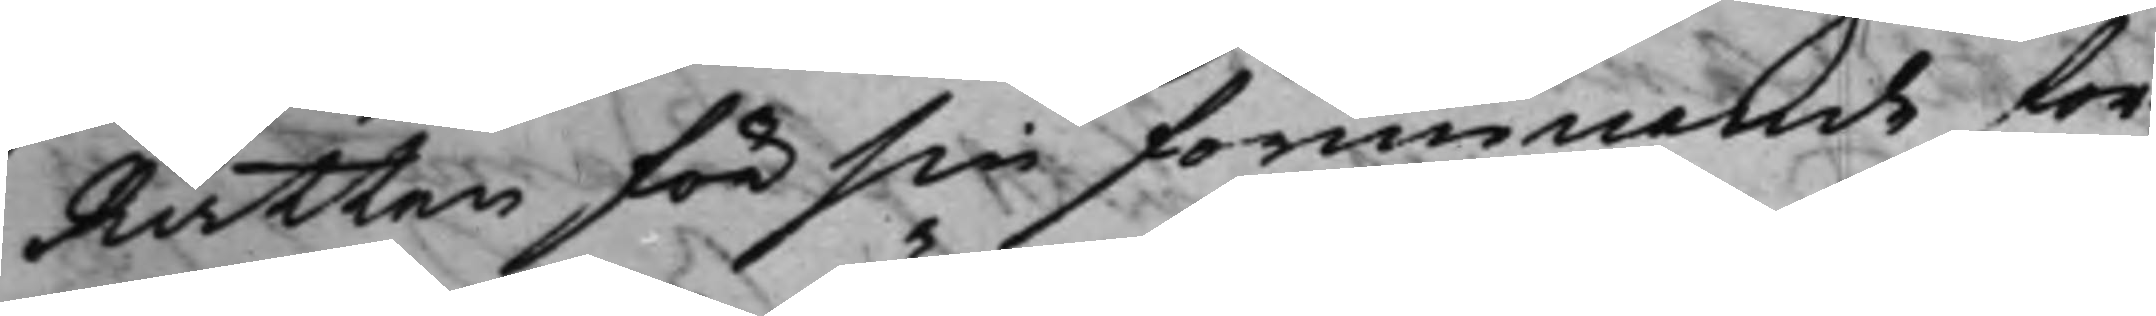Rätten för sin förmenande for¬
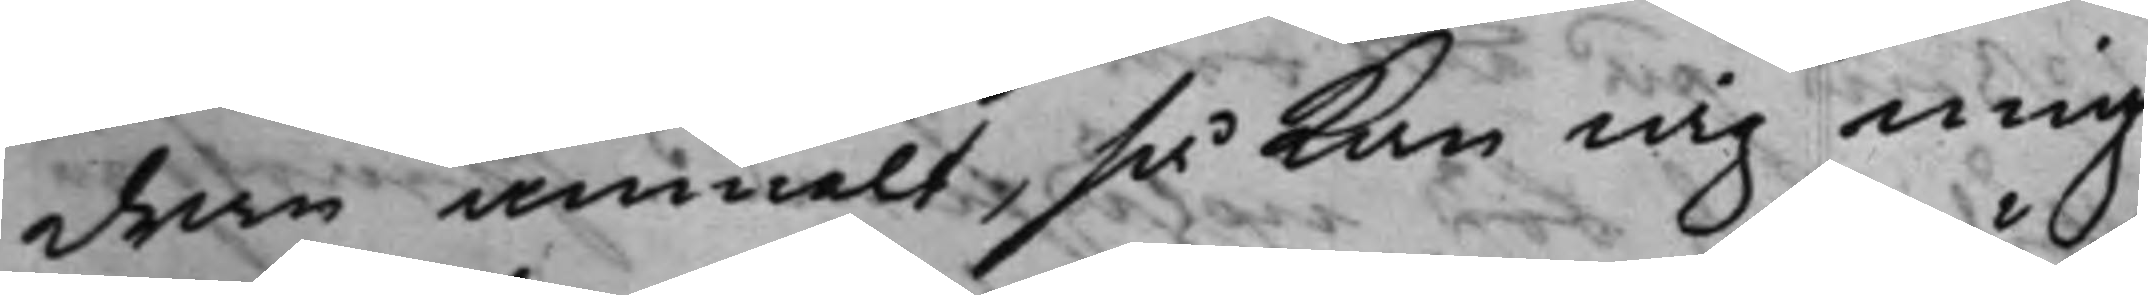dran anmält, så kan iag mig
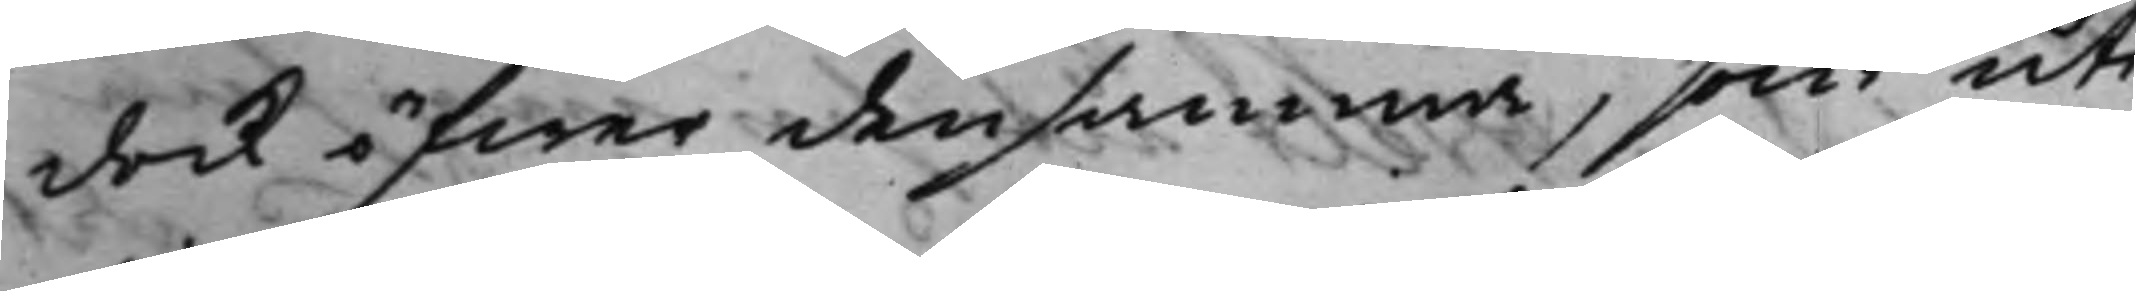dock öfwer densamma, som uti
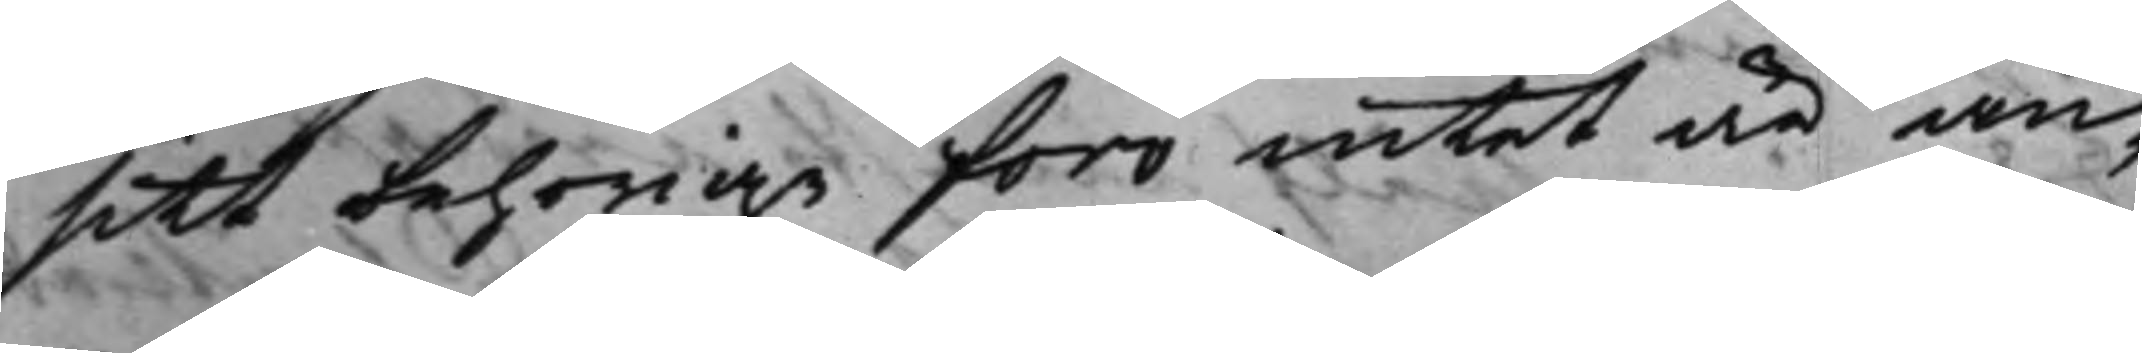sitt behörige foro intet är an¬
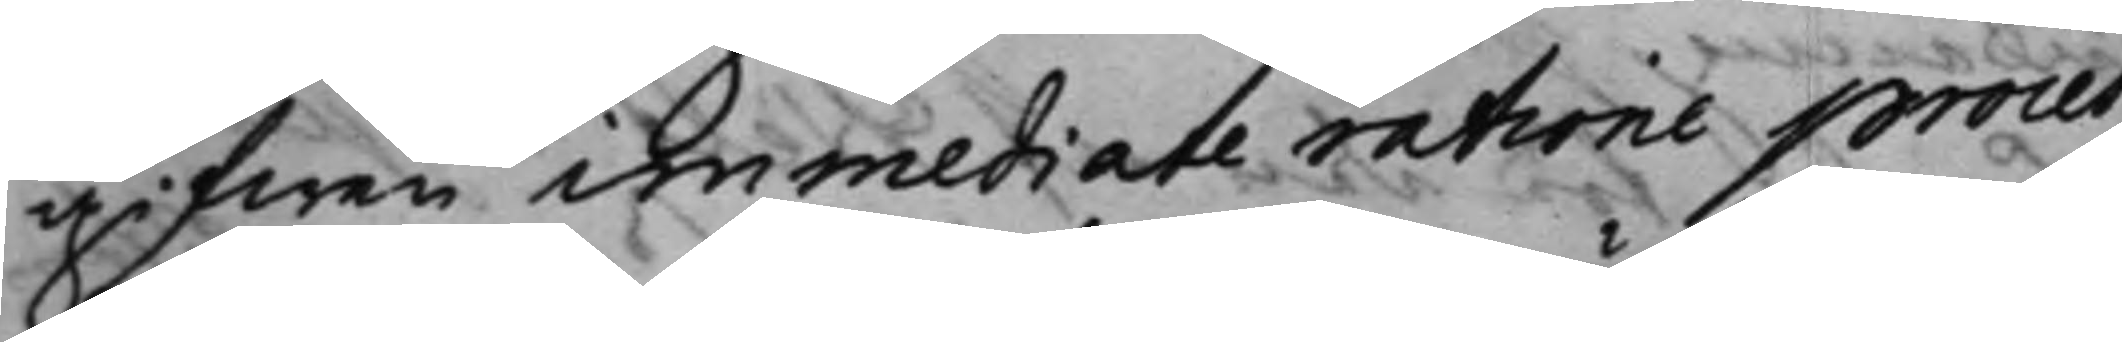gifwen immediate ratione proces¬
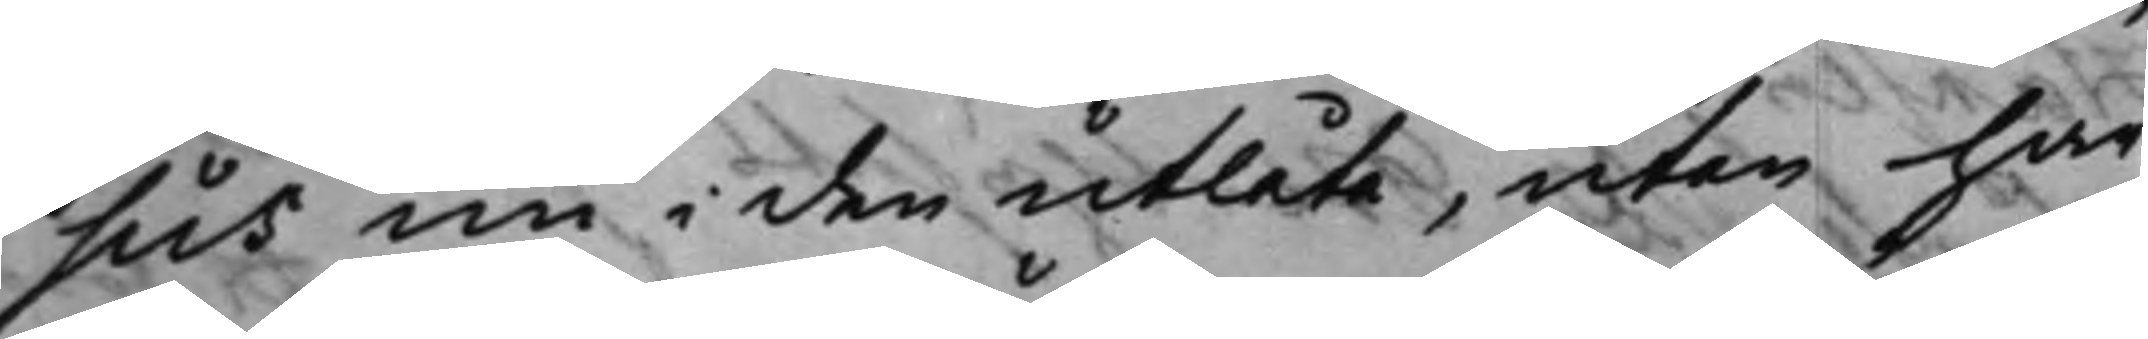sus nu i den utlåta, utan har
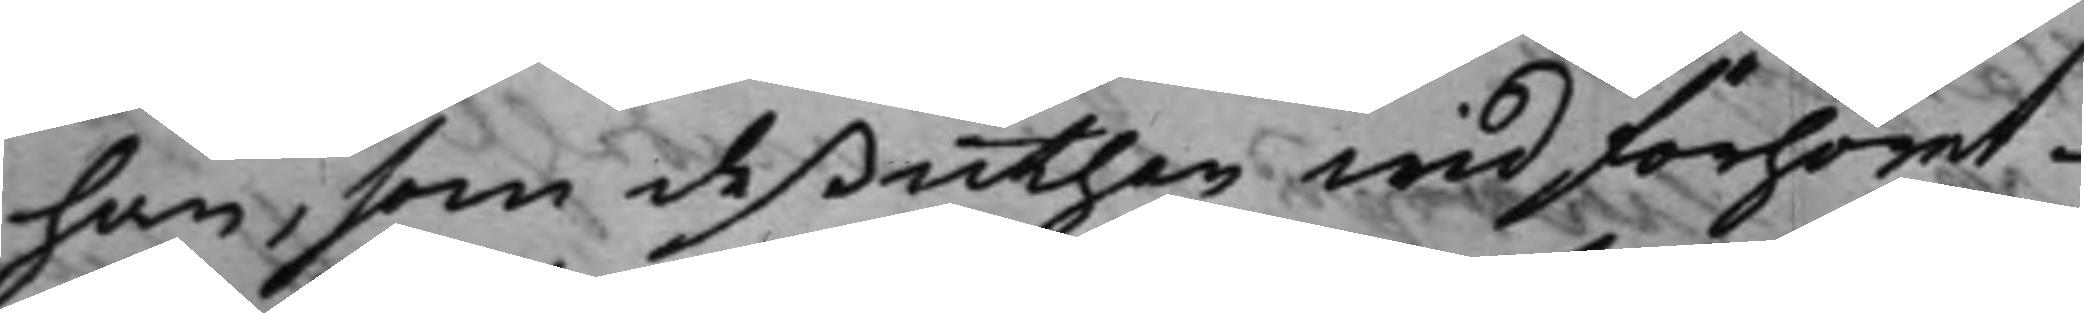han, som deßuthan wid förhöret
